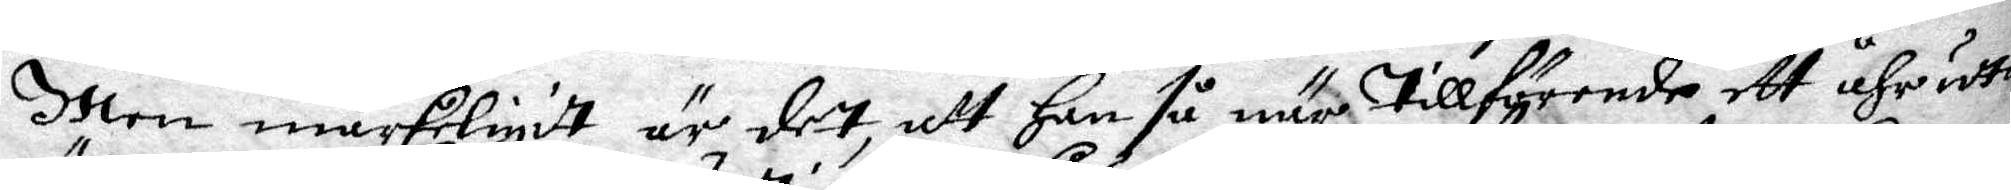Men märkeligit är det, att han så när tillförende ett åhr udta
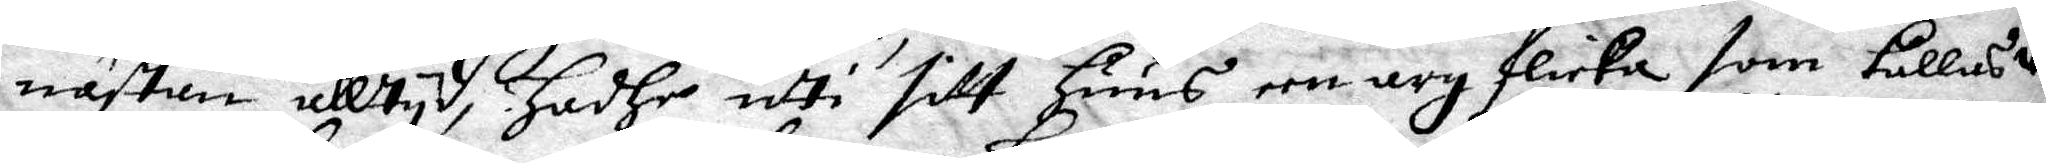nästan alltyd, hadhe udti sitt huus een arg flicka som kallas wäl¬
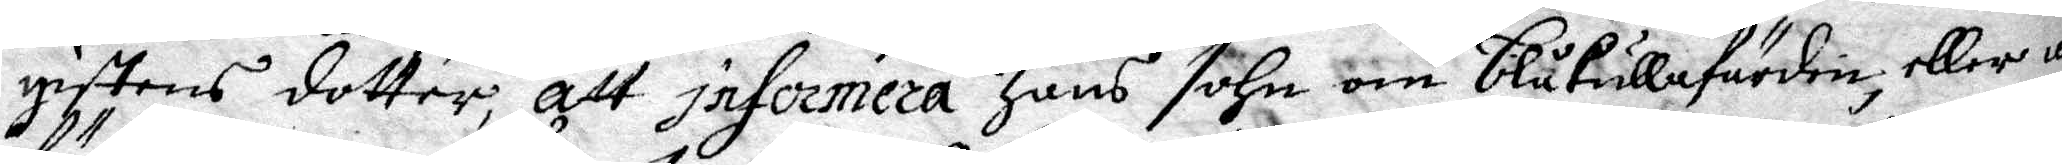giftens dotter, att informera hans sohn om blåkullafärden, eller att
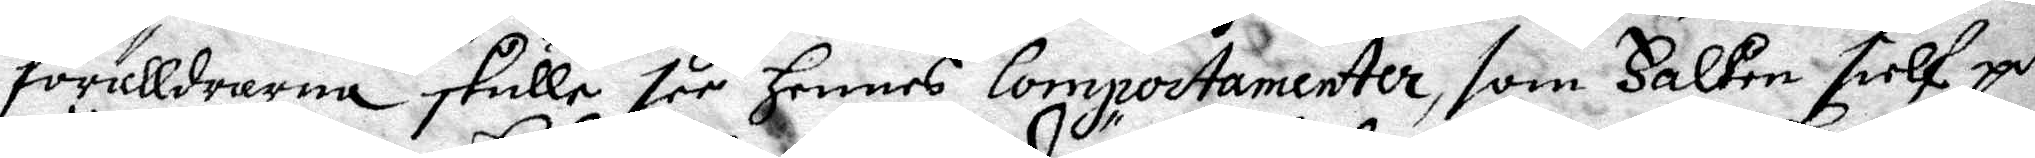förälldrarna skulle see hennes Compoctamenter, som Falken sielf på
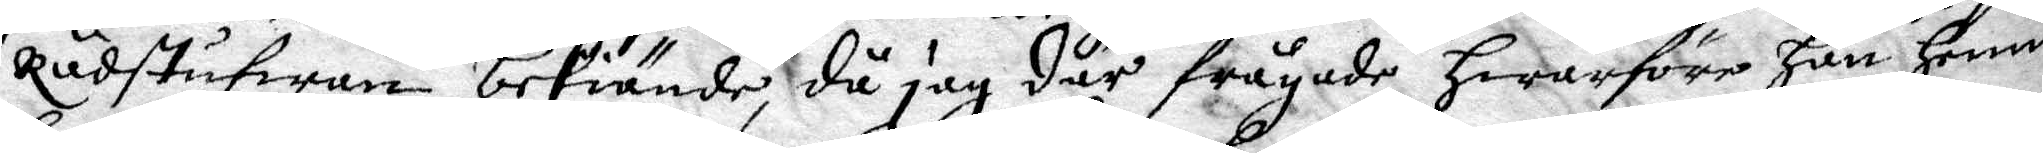Rådstufwan bekiände, då jag där frågade hwarföre han henne
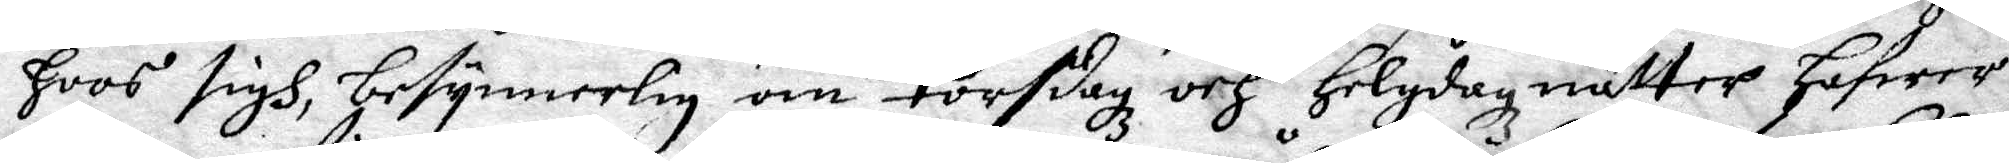hoos sigh, besynnerlig om torsdagz och Helgdag nätter hafwer.
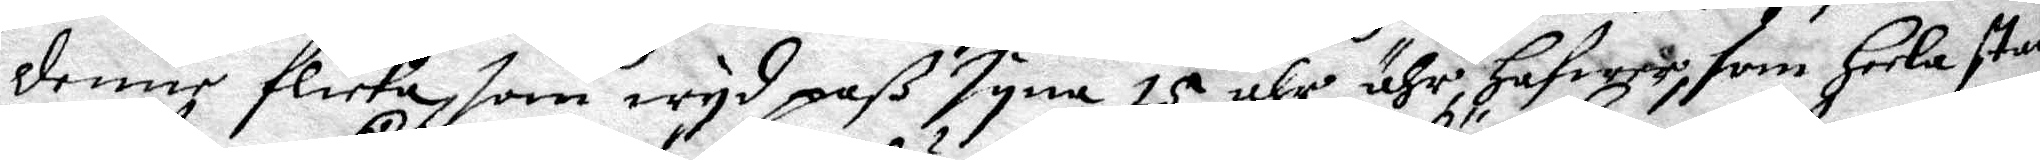denne flicka, som wyd paß syna 15 ähr ähr hafwer, som heela staden
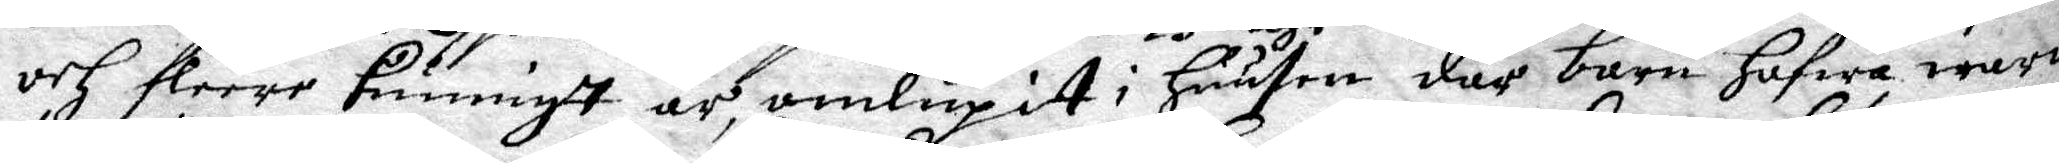och fleere kunnigt är, omlupit i huusen där barn hafwa warit
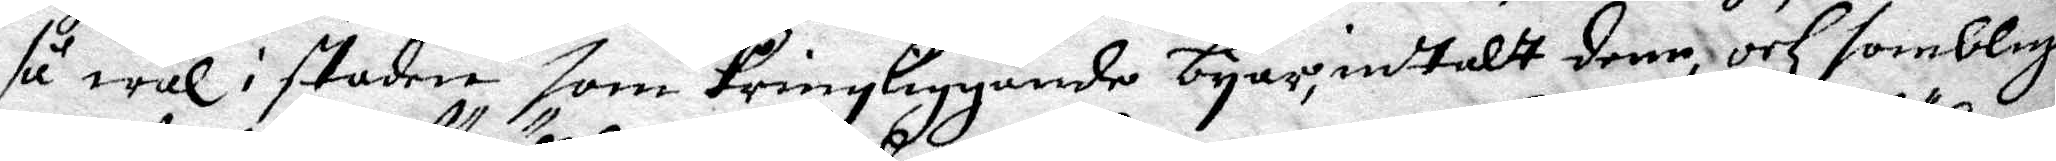så wäl i staden som kringliggande byar, intalt denn, och somblige
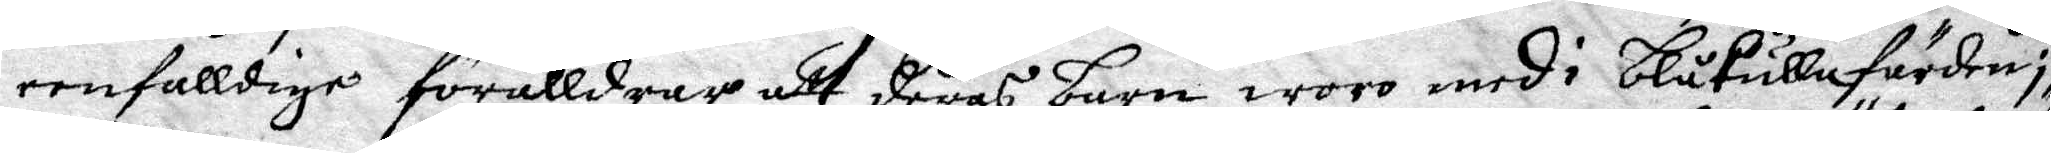eenfalldige förälldrar att deras barn woro med i blåkullafärden; så
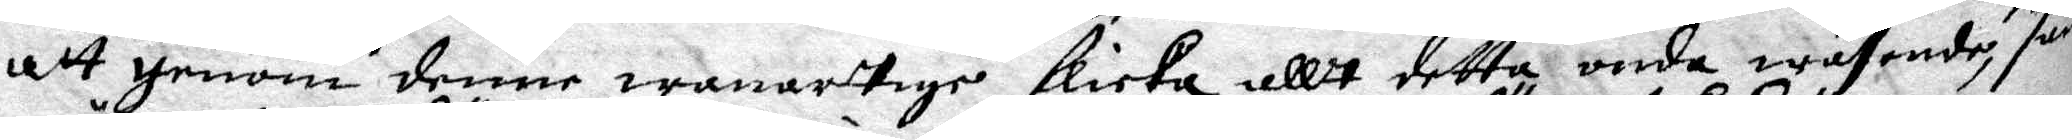att genom denne wanartige flicka allt detta onda wäsende, sampt
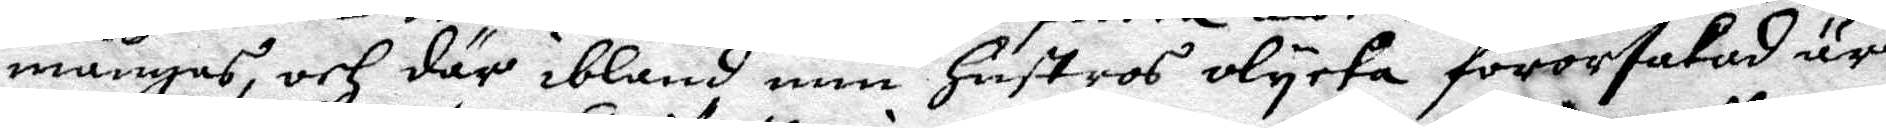mångas, och där ibland min hustros olycka förorsakad är.
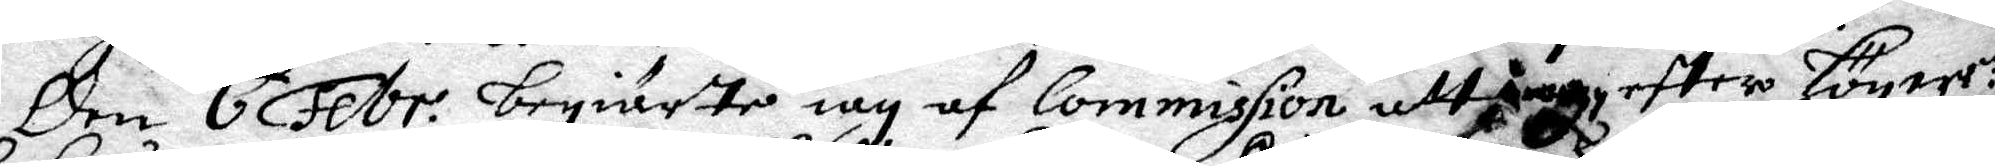Den 6 Febr. begiärte iag af Commission att Jag, eftter högwe.ne
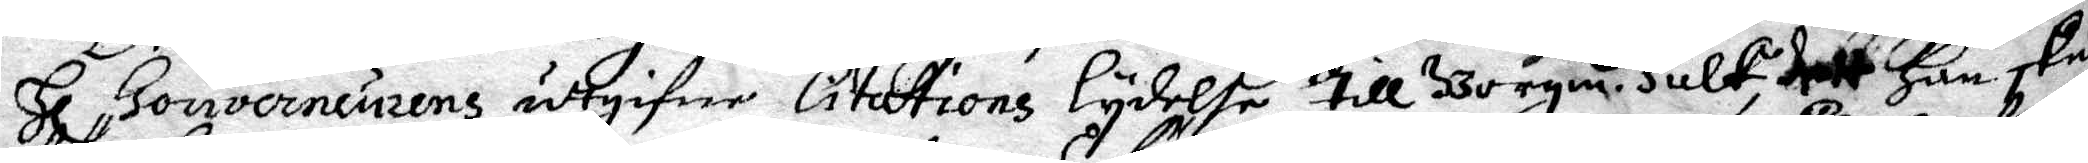Hl Gouverneurens utgifne Citations lydelse till Borgm. Falk, dett Han skulle
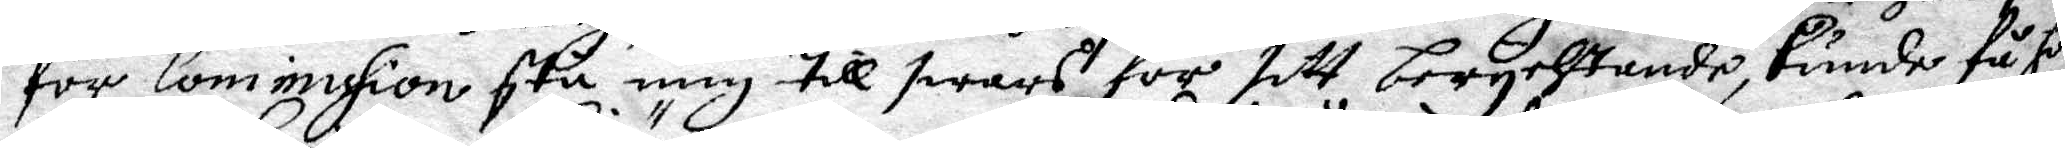för Commission stå mig till swars för sitt berychtande, Kunde få honom
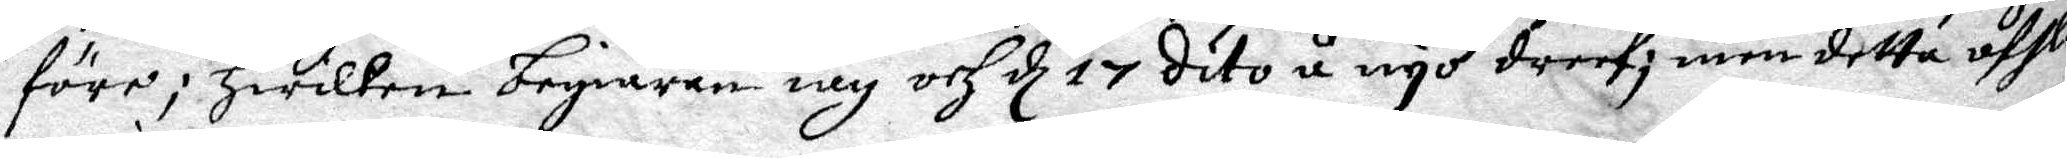före; Hwilken begiäran iag och d 17 dito ånyo dreef; men detta afslog
